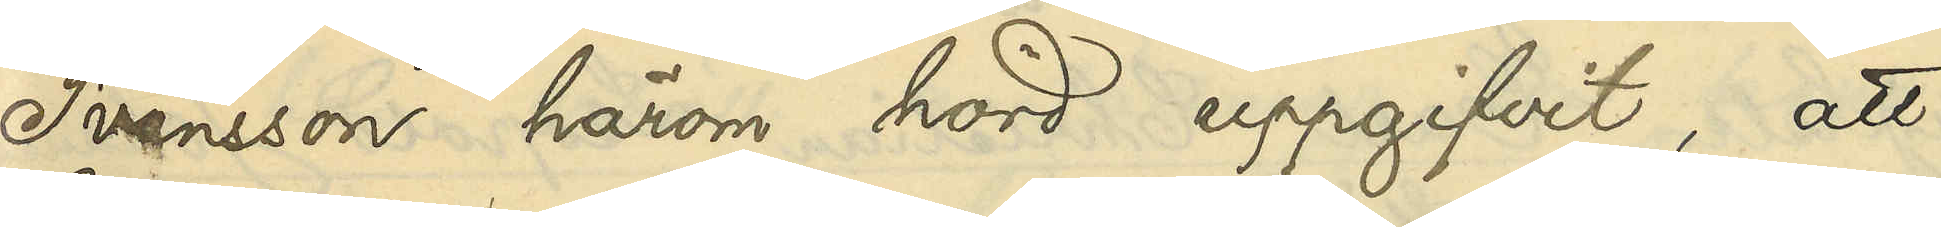Svensson härom hörd uppgifvit, att
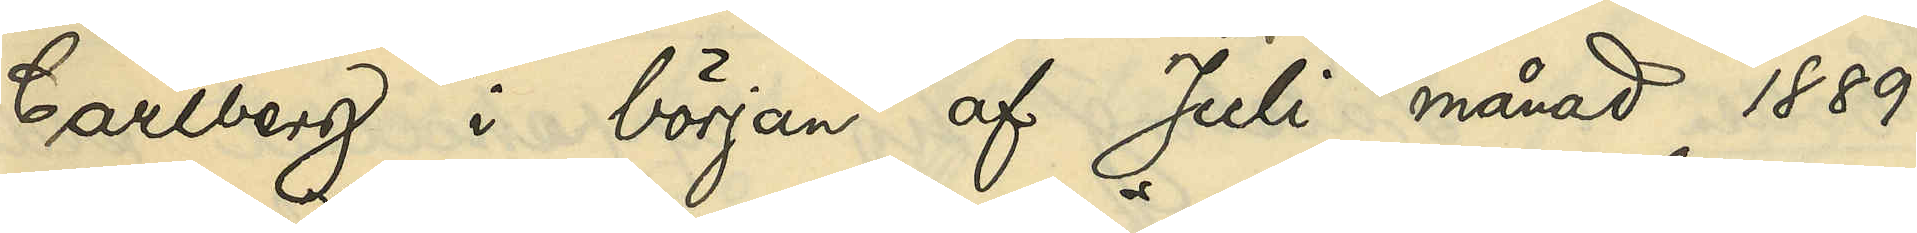Carlberg i början af Juli månad 1889
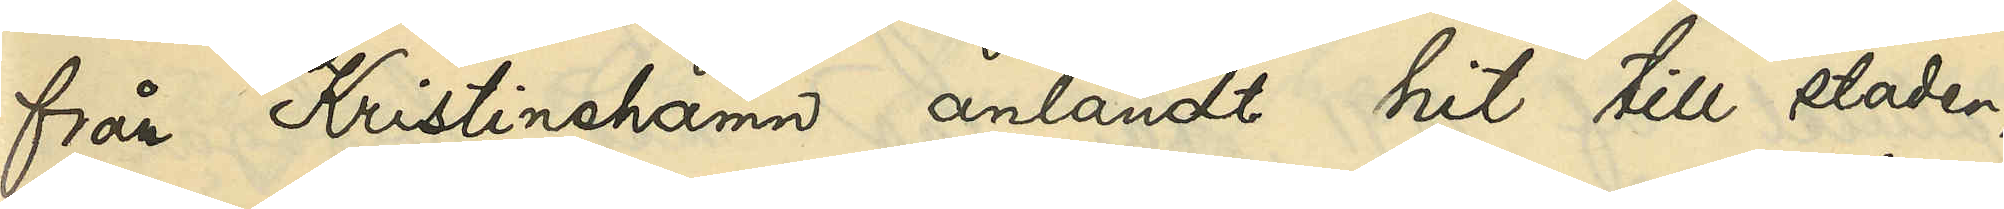från Kristinehamn anländt hit till staden,
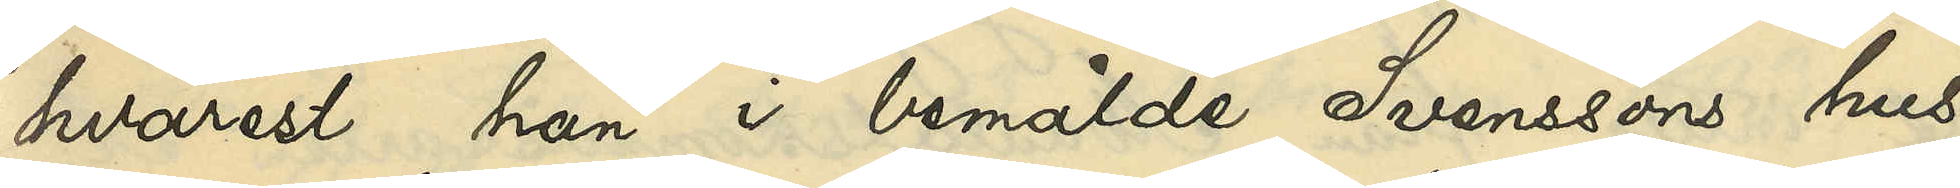hvarest han i bemälde Svensons hus
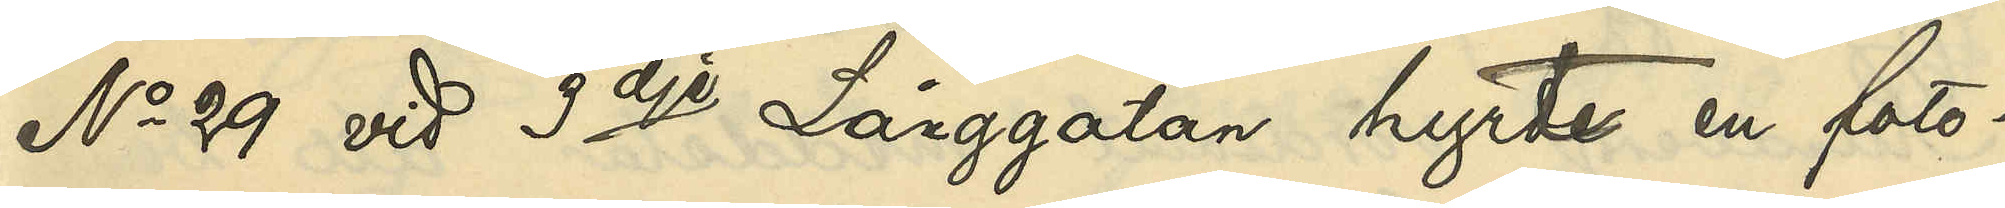No 29 vid 3dje Långgatan hyrte en foto¬
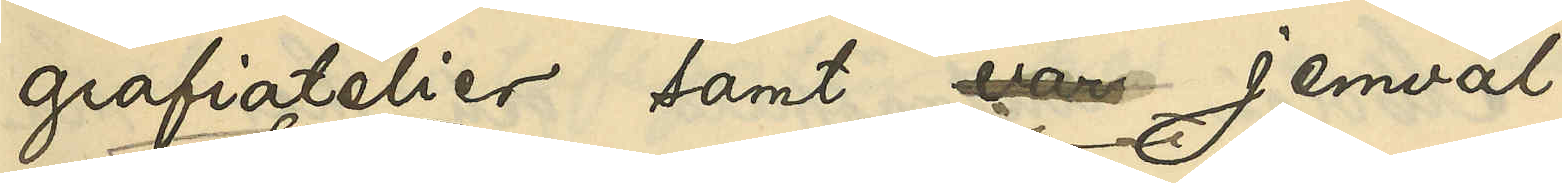grafiatelier samt var jemväl
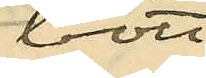bott
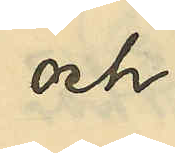och
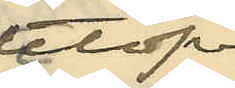utöfvat
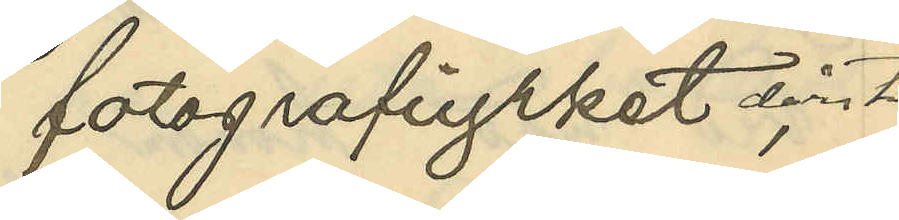fotografiyrket derstädes
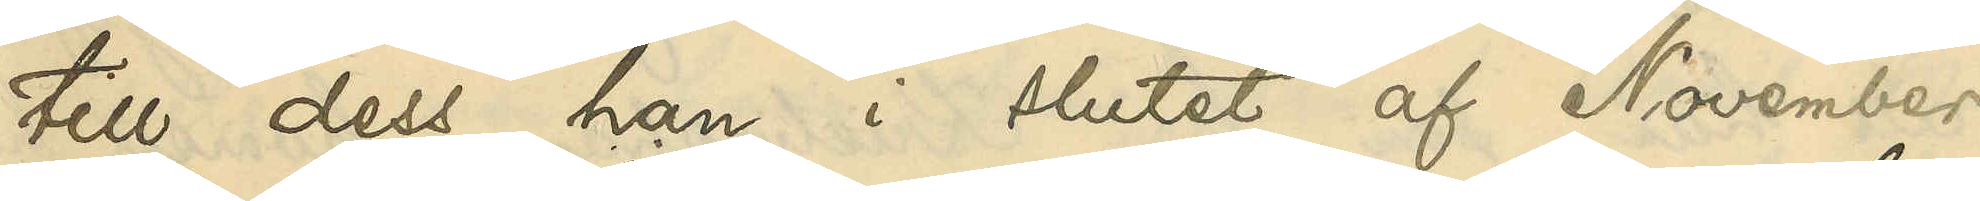till dess han i slutet af November
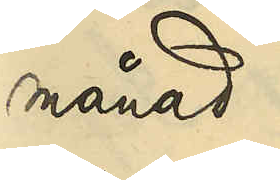månad
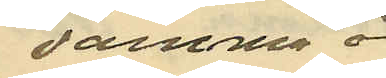samma år
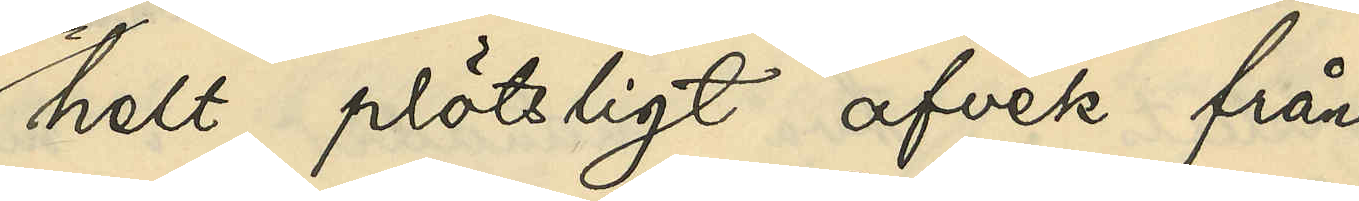helt plötsligt afvek från
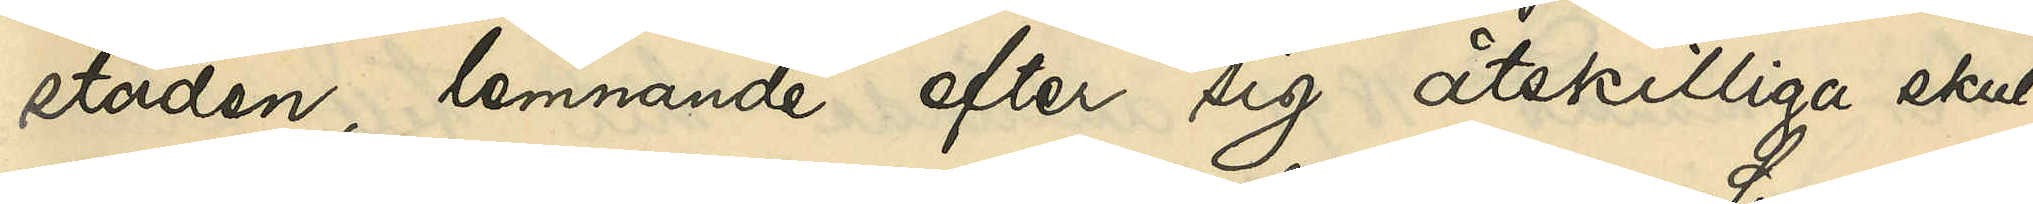staden, lemnande efter sig åtskilliga skul¬
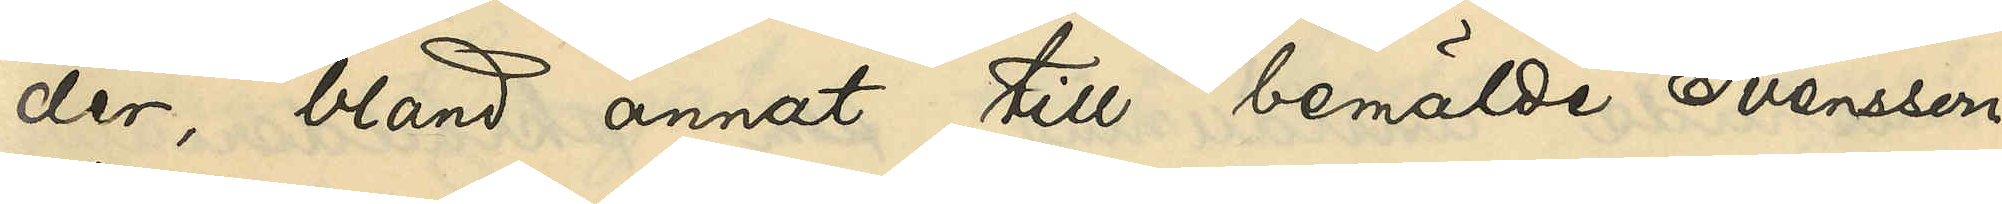der, bland annat till bemälde Svensson,
